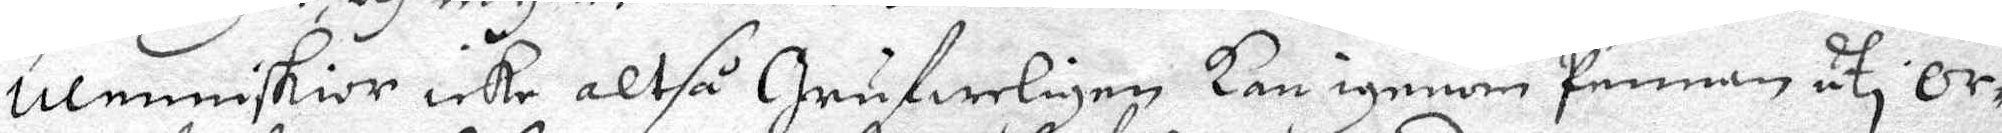Menniskior icke altså Grufweligen Kan igenom pennan uti or¬
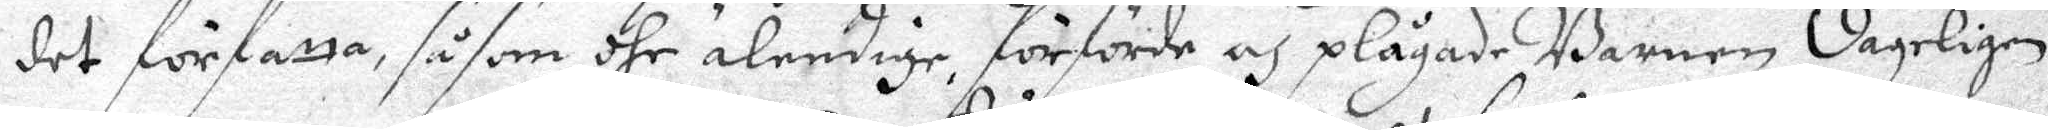det författa, såsom dhe älendige, förförde och plågade Barnen dageligen
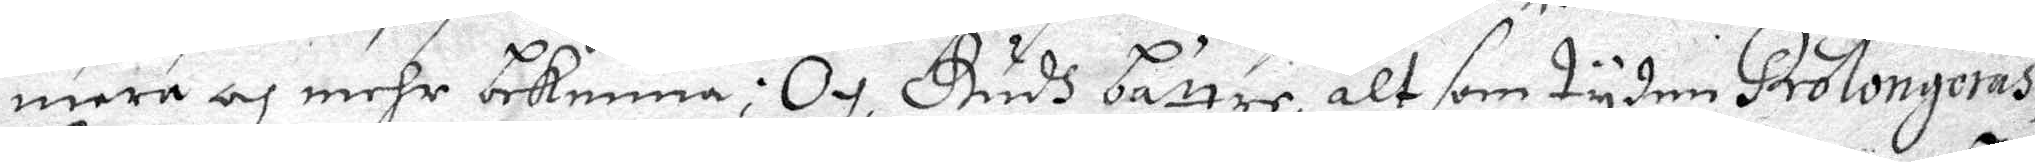mera och mehr bekenna; Och Gudh bärtre, alt som tyden Prolongeras
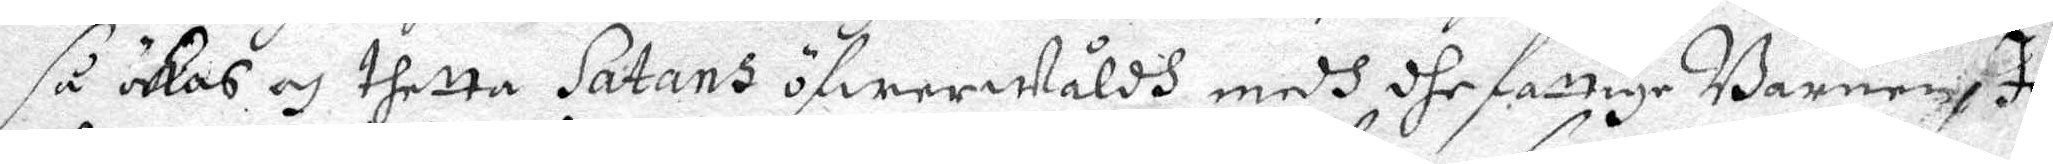så ökas och thetta Satans öfwerwåldh medh dhe fattige Barnen, Ja
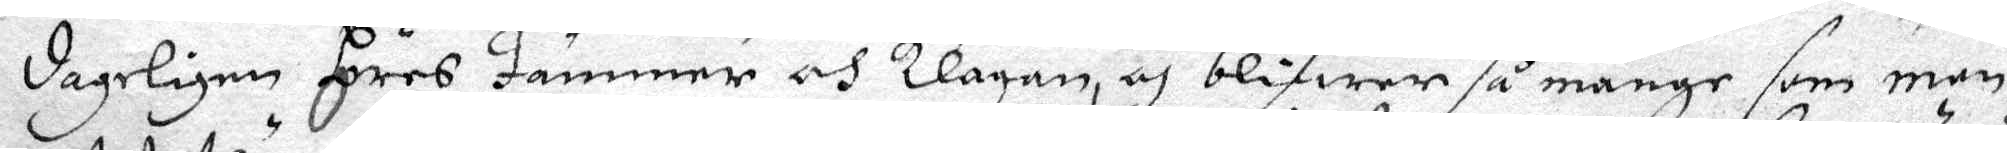dageligen höres jämmer och Klagan, och blifwer så månge som man
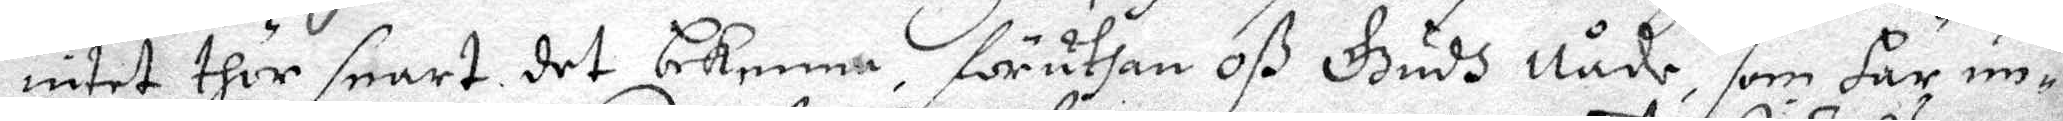intet thör snart det bekenna föruthan oß Gudh Nåde, som här un¬
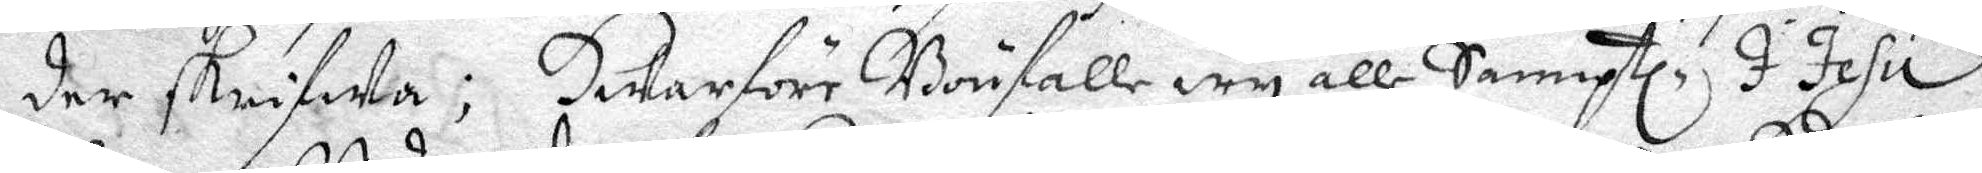der skrifwa; Hwarföre Bönfalle wy alle Samptl. I Jesu
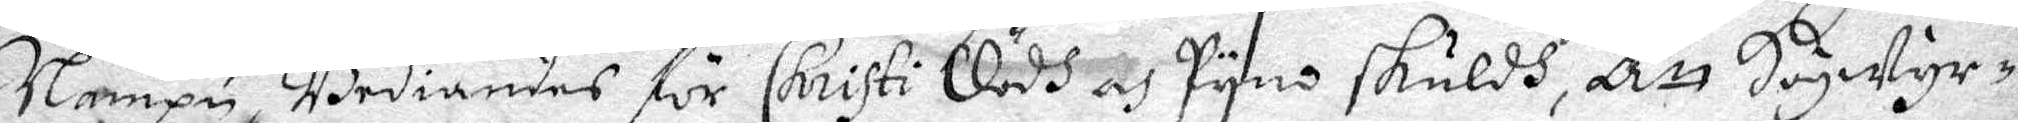Nampn Bediandes för Christi Dödh och Pyno skuldh, att Högwyr¬
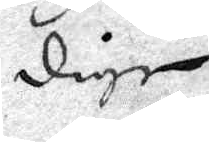dige
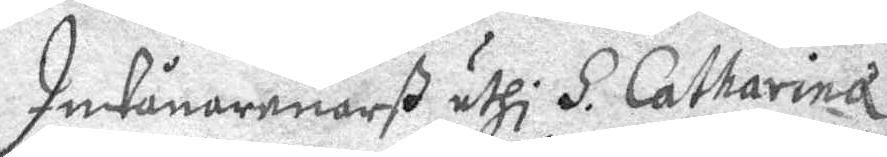Inwånarenarß uthi S. Catharina
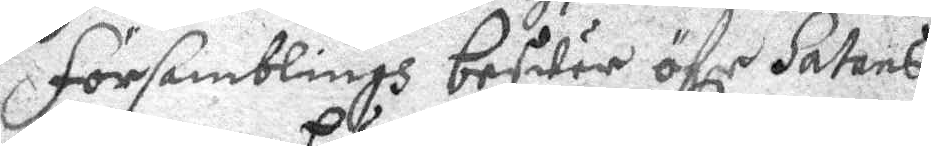församblings beswär öfer Satans
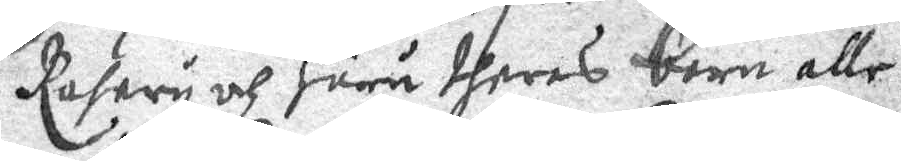Raseri och huru dheras barn alle
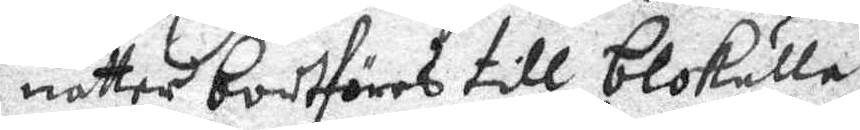nätter bortföres till blokulla
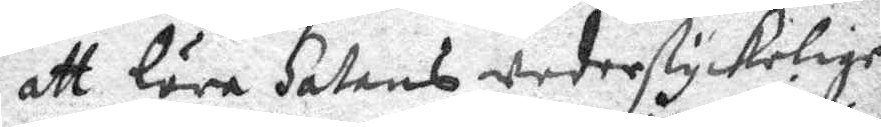att lära Satans wederstyckelige
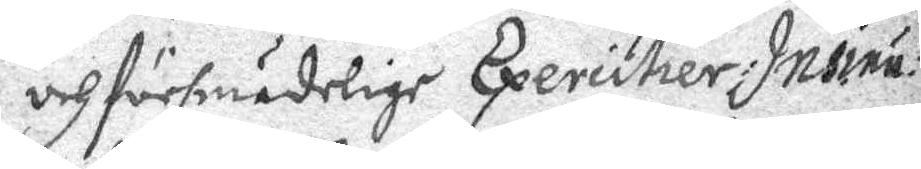och försmädelige Exercitier Insinu¬
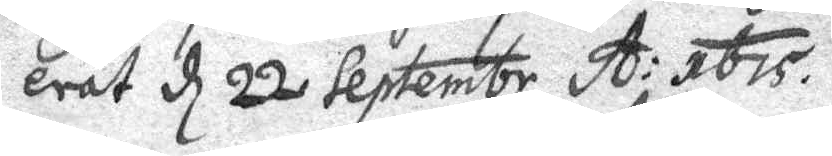erat d 22 Septembr A: 1675.
